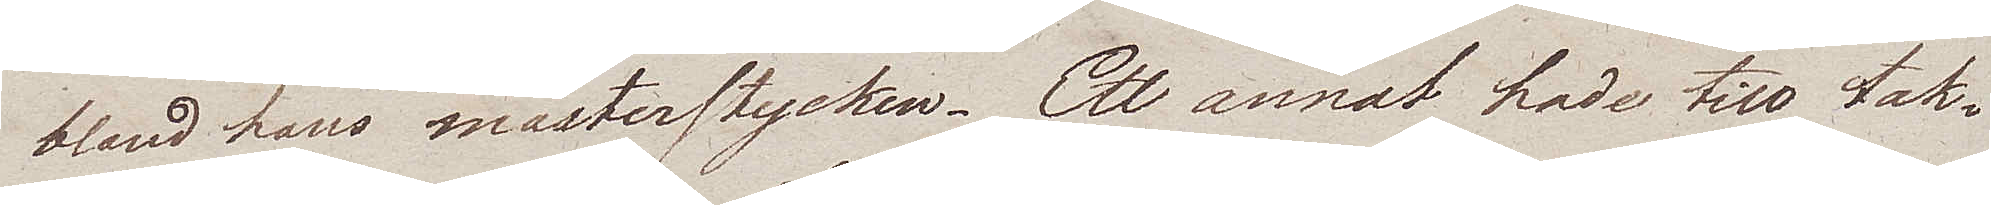bland hans mästerstycken. Ett annat hade till tak¬
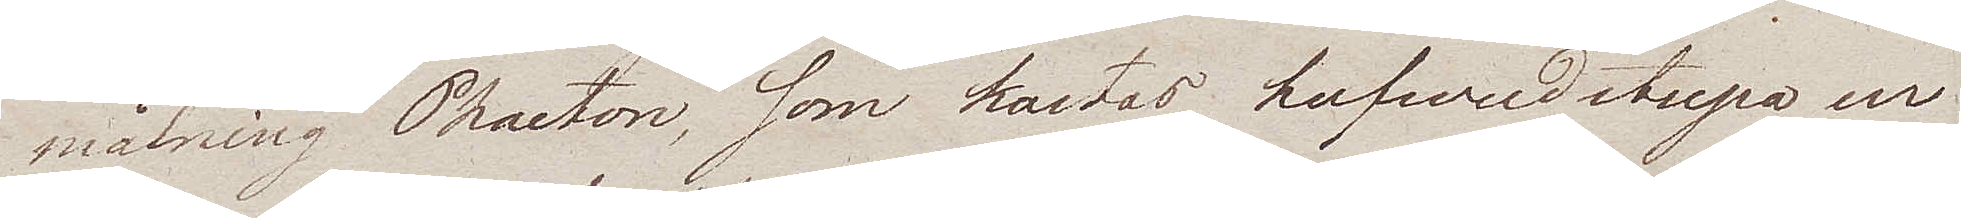målning Phaeton, som kastas hufvudstupa ur
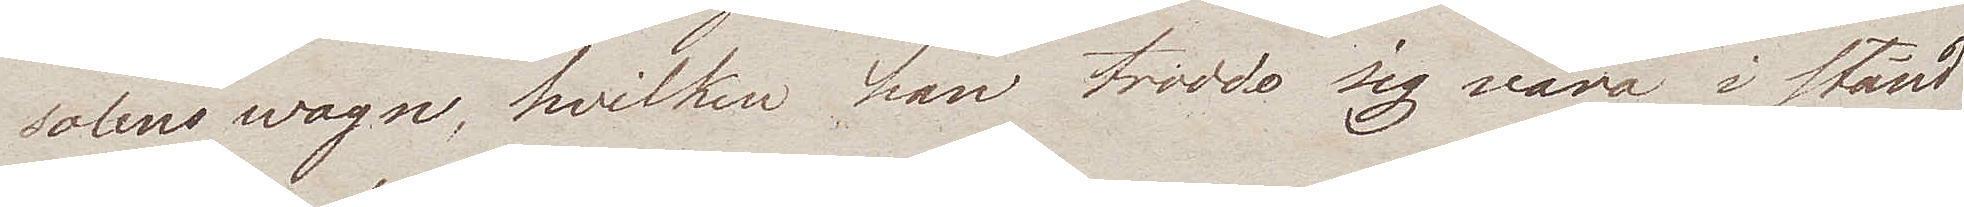solens wagn, hvilken han trodde sig vara i stånd
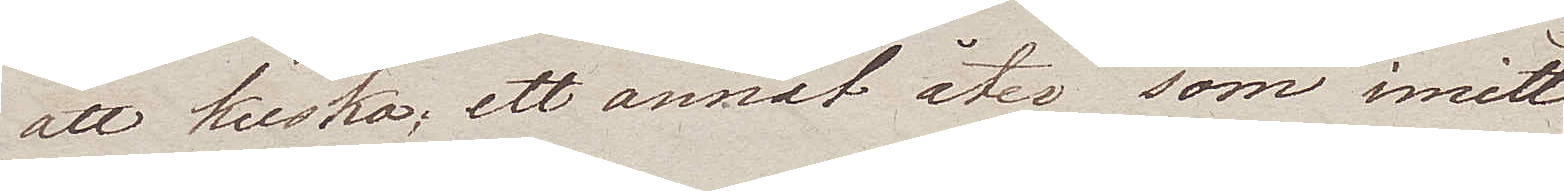att kuska; ett annat åter som imitt
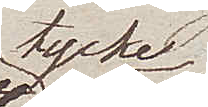tycke
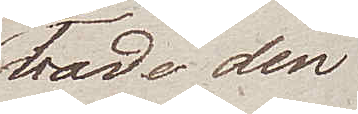hade den
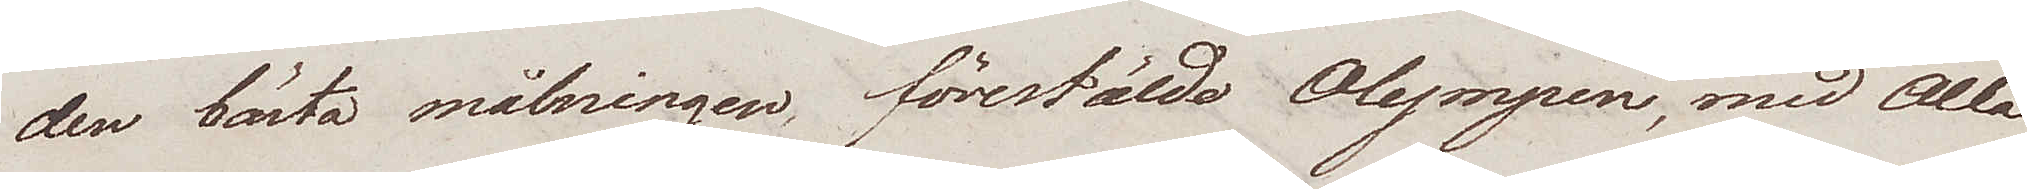den bästa målningen, förestälde Olympen, med Alla
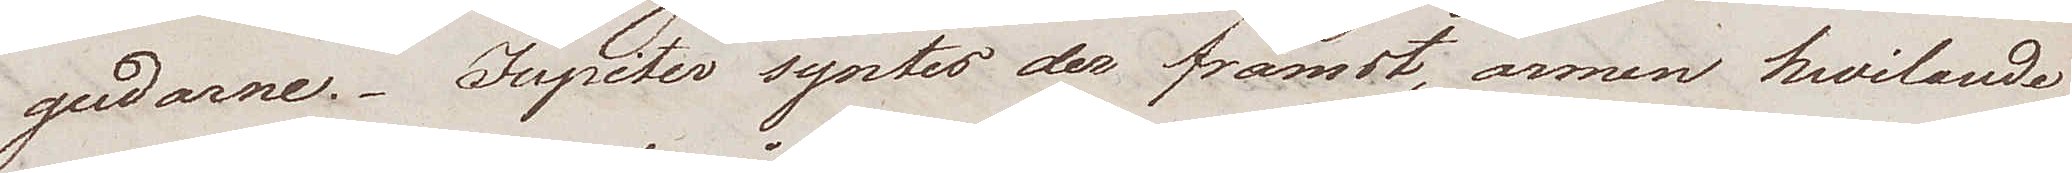gudarne. Jupiter syntes der främst, armen hvilande
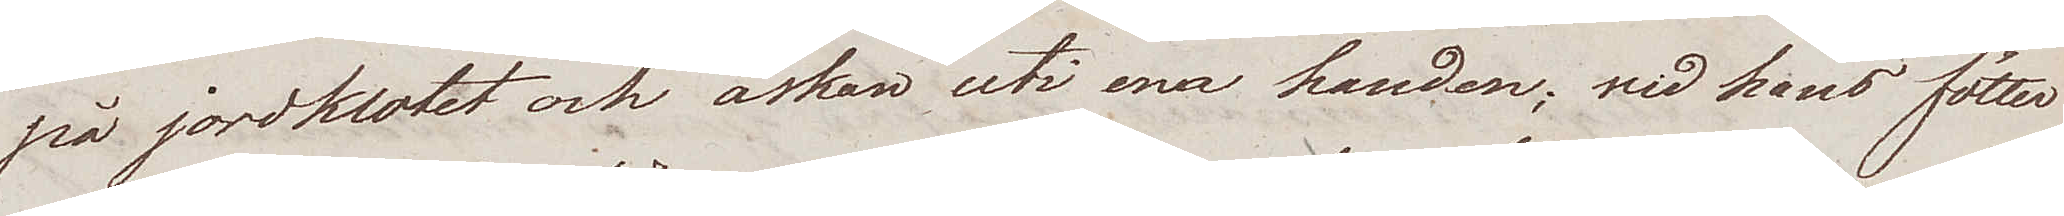på jordklotet och åskan uti ena handen; vid hans fötter
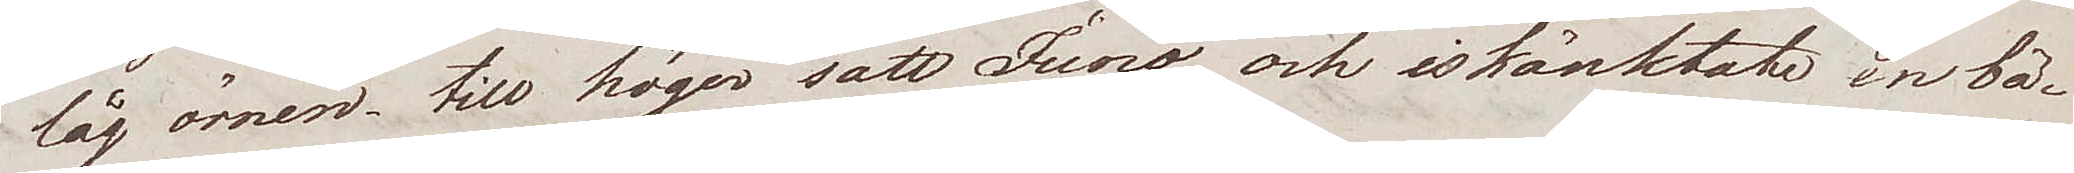låg örnen, till höger satt Juno och iskänkete en bä¬
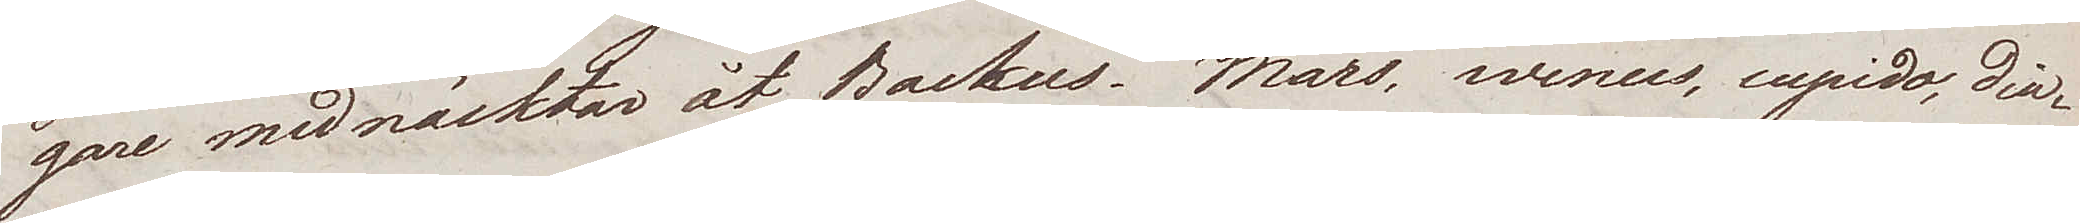gare med näcktar åt Backus. Mars, wenus, cupido, Dia¬
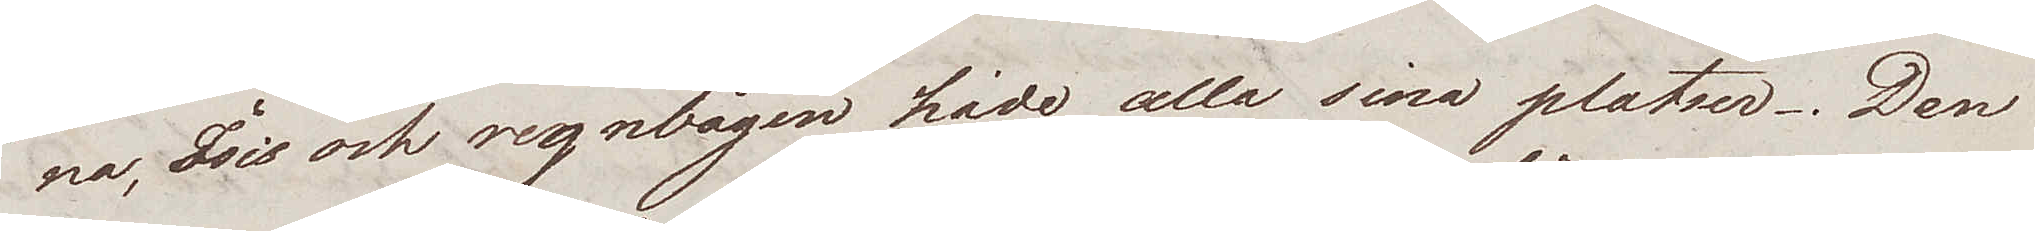na, Isis och regnbågen hade alla sina platser. Den
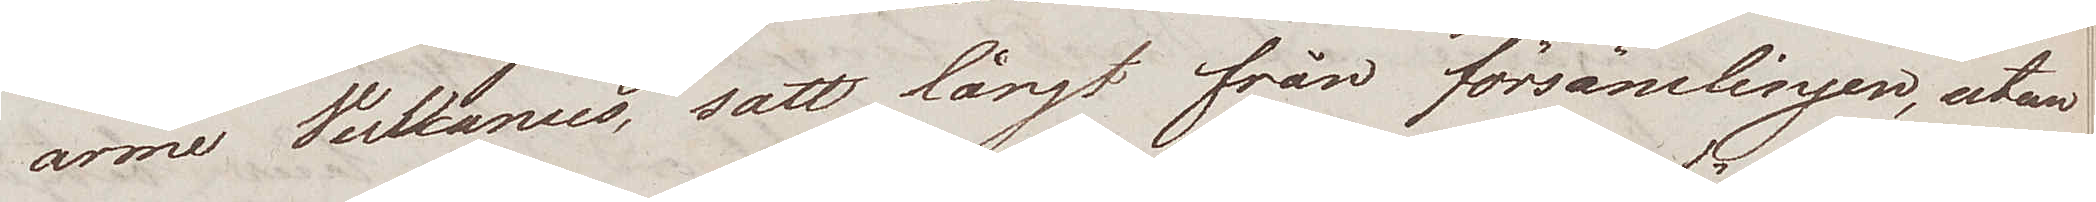arme Vulkanus, satt långt från försämlingen, utan
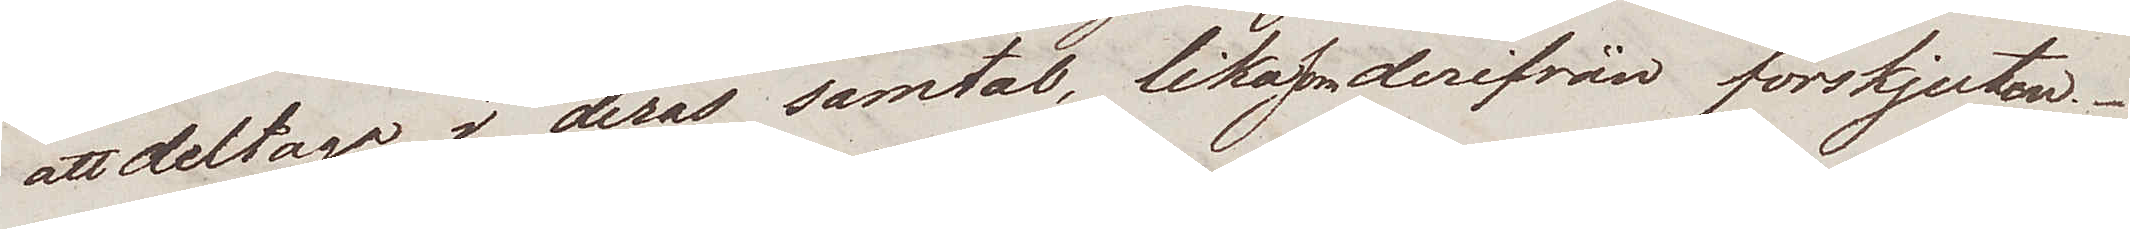att deltaga i deras samtal, likasom derifrån förskjuten.
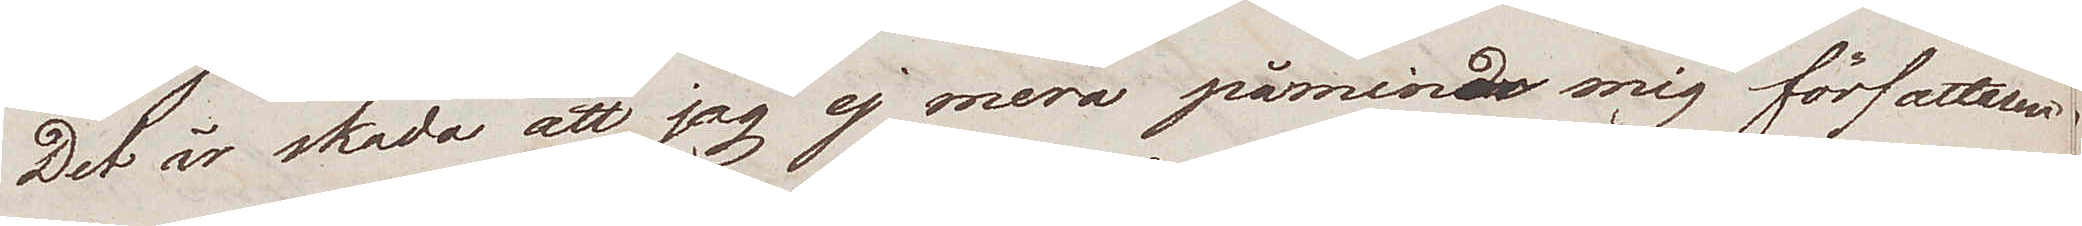Det är skada att jag ej mera påminde mig författaren
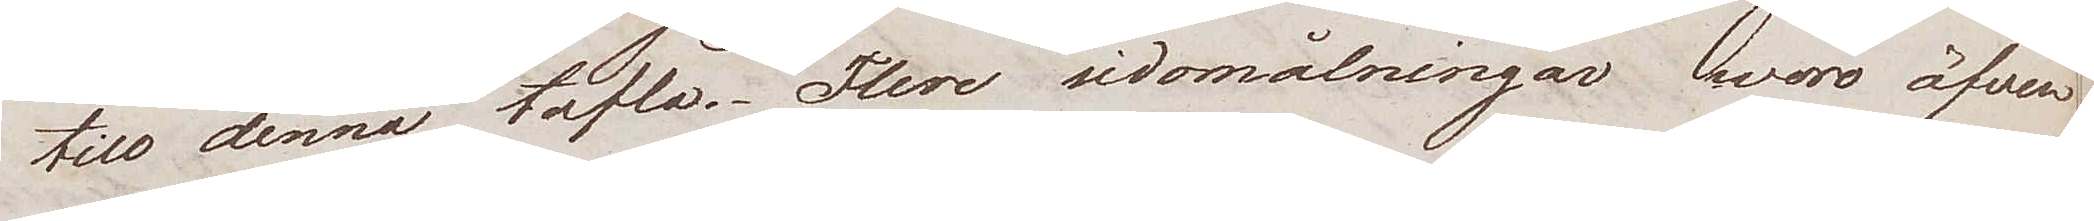till denna tafla. Flere sidomålningar woro äfven
